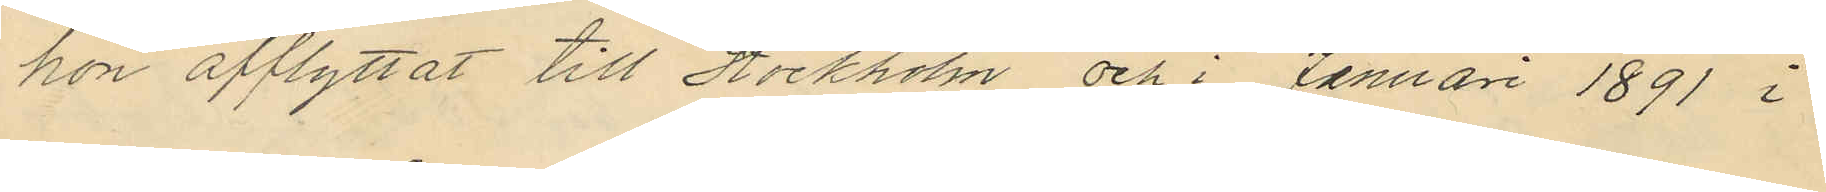hon afflyttat till Stockholm och i Januari 1891 i
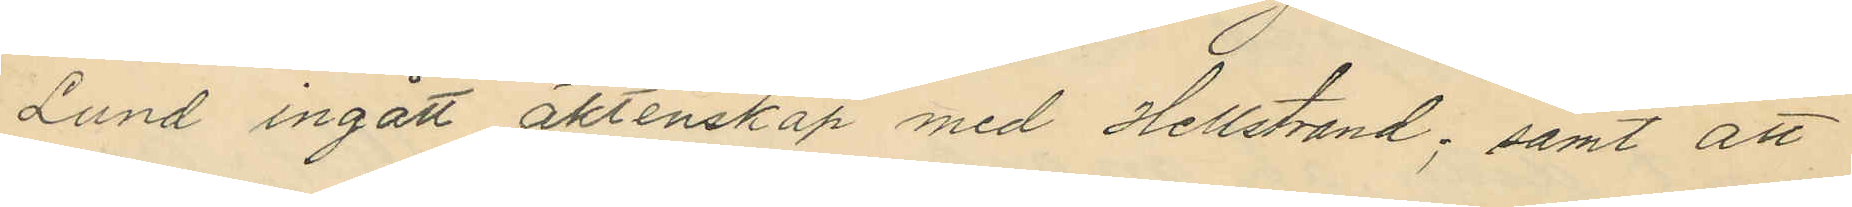Lund ingått aktenskap med Hellstrand; samt att
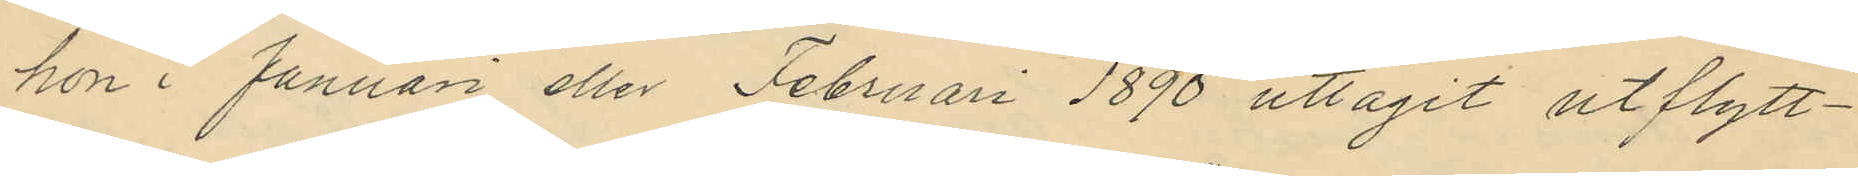hon i Januari eller Februari 1890 uttagit utflytt¬
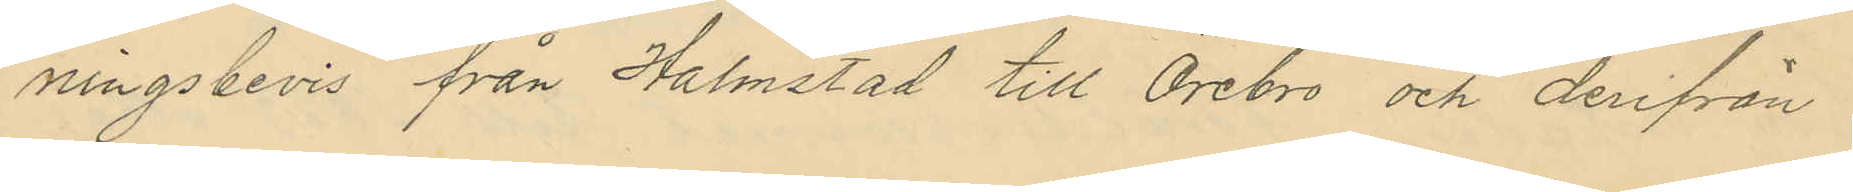ningsbevis från Halmstad till Örebro och derifrån
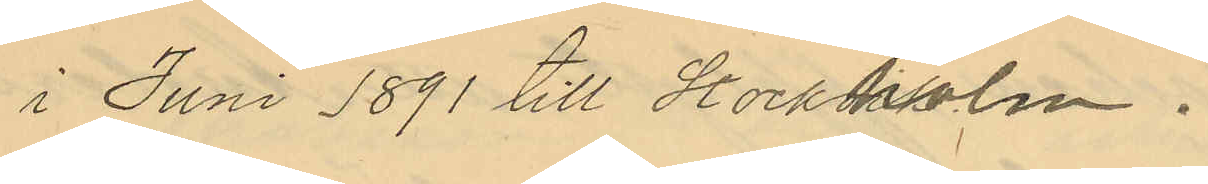i Juni 1891 till Stockholm.
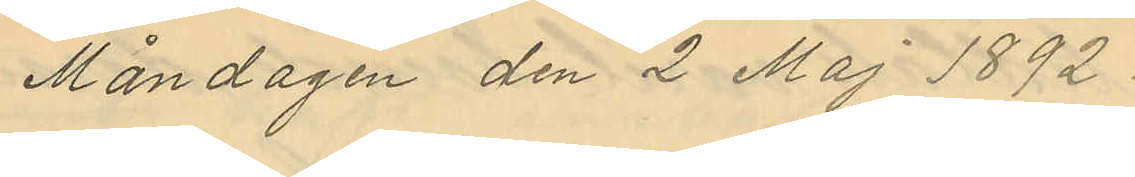Måndagen den 2 Maj 1892.
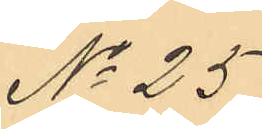No 25
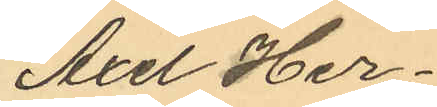Axel Her¬
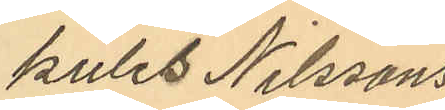kules Nilssons
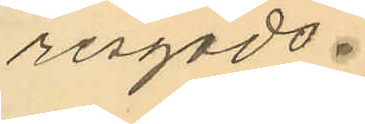resgods.
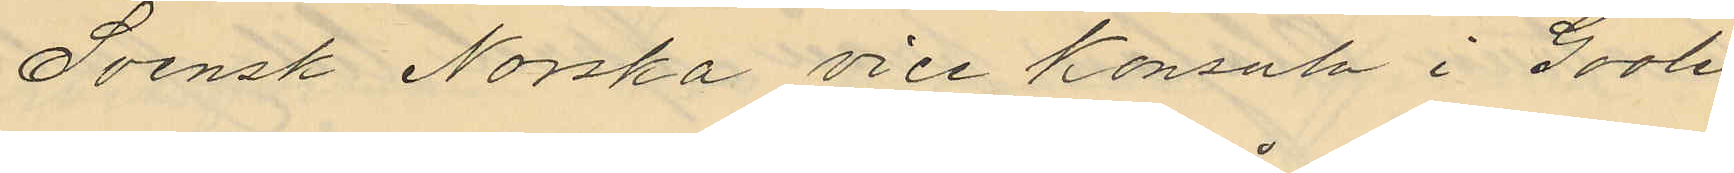Svensk Norska vice Konsuln i Gooh
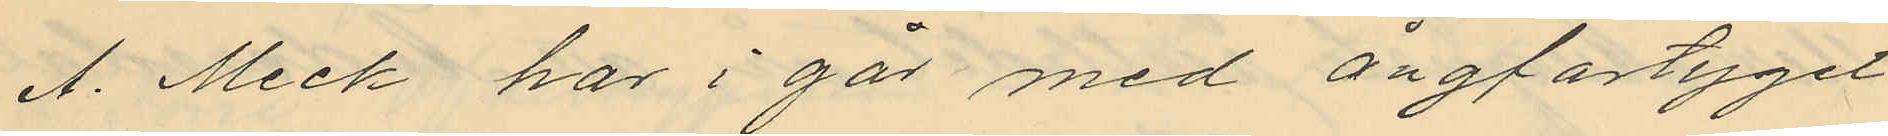A. Meck har i går med ångfartyget
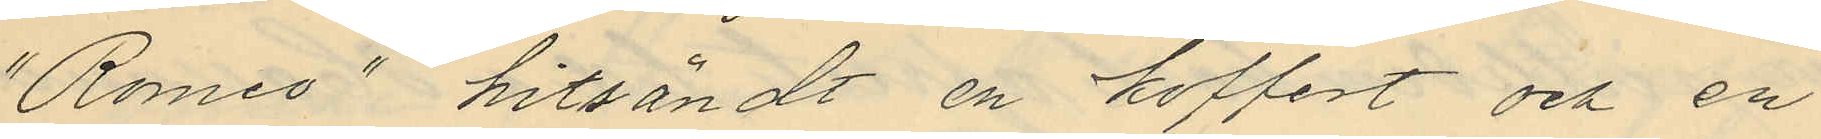"Romeo" hitsändt en koffert och en
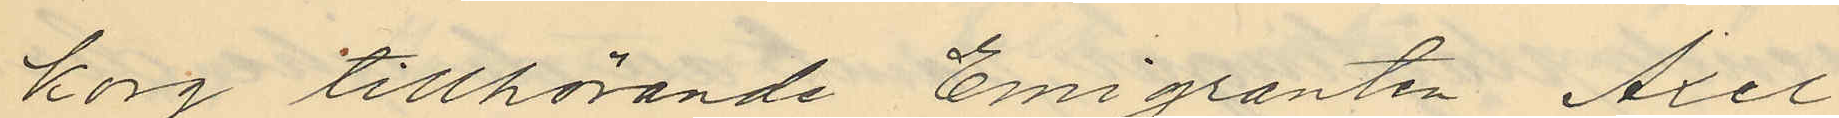korg tillhörande Emigranten Axel
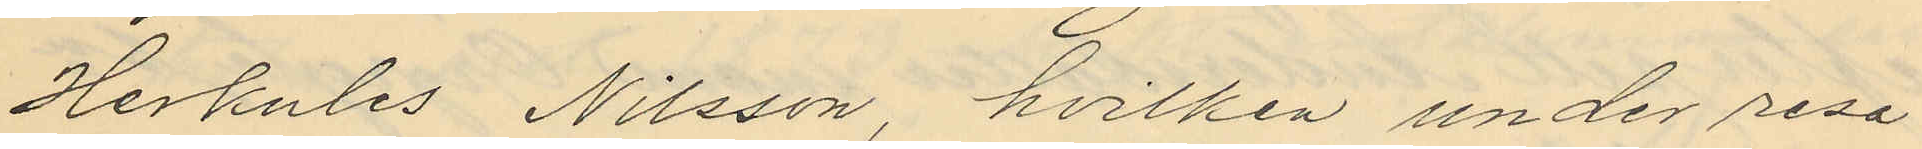Herkules Nilsson, hvilken under resa
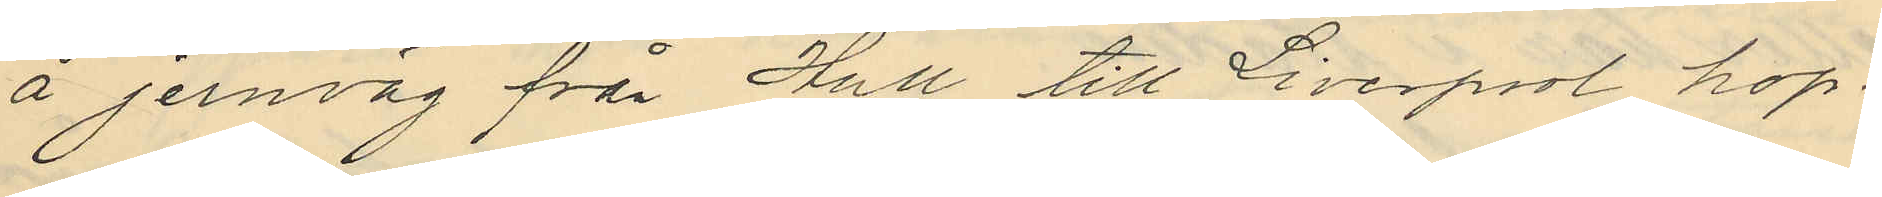å jernväg från Hull till Liverpool hop¬
